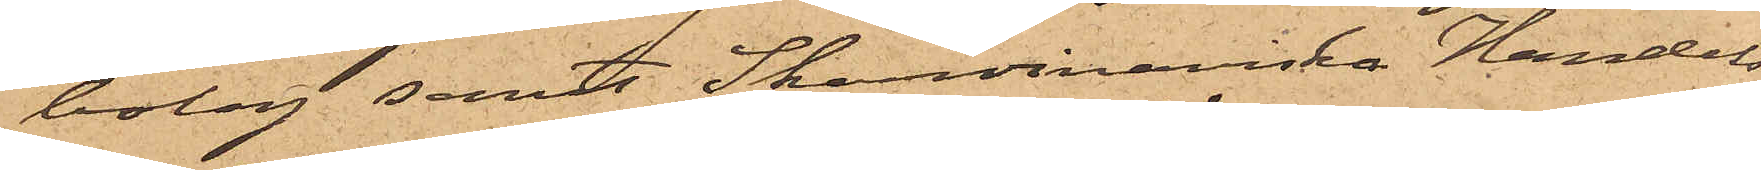bolag samt Skandinaviska Handels
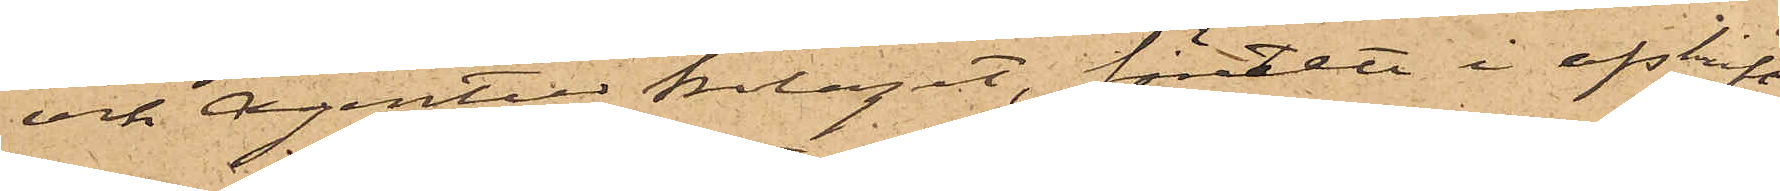och Agentur Bolaget, företett i afskrift
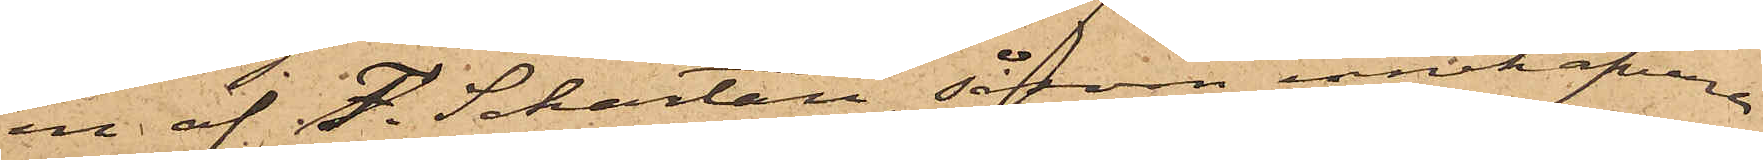en af F. Schartau, såsom innehafvare
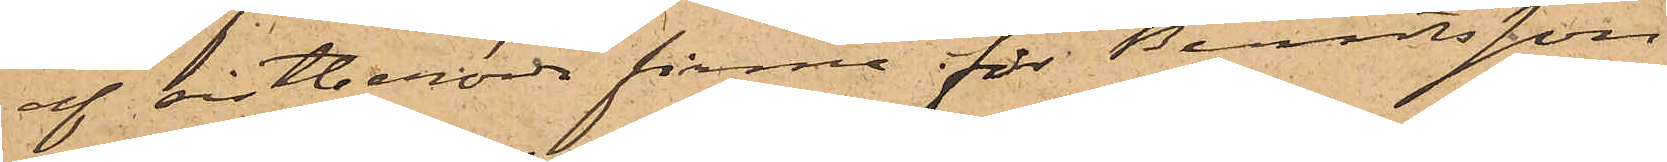af sistberörde firma för Berntsson
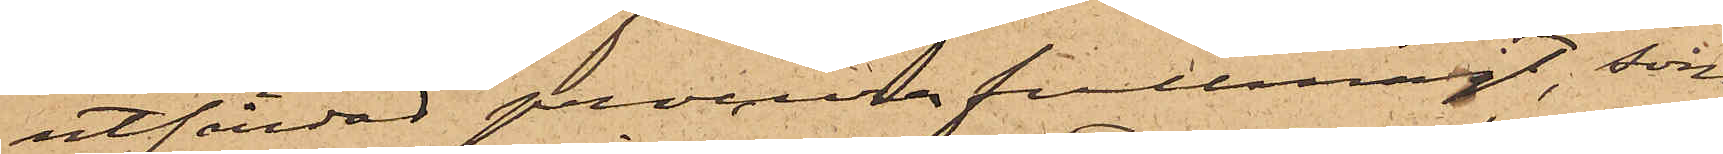utfärdad procura fullmagt, som
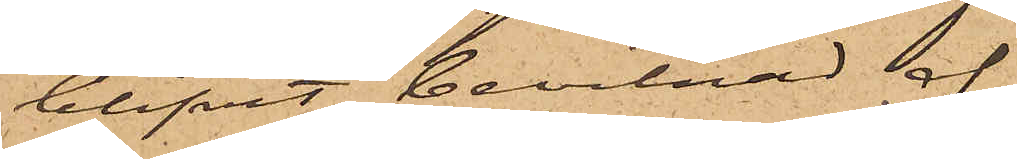blifvit bevitnad af
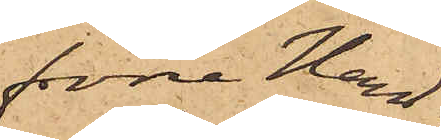förre Hand¬
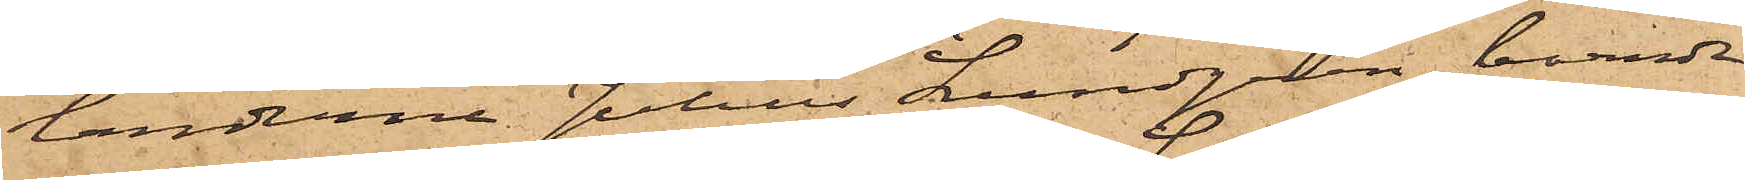landerne Julius Lundgren, boende
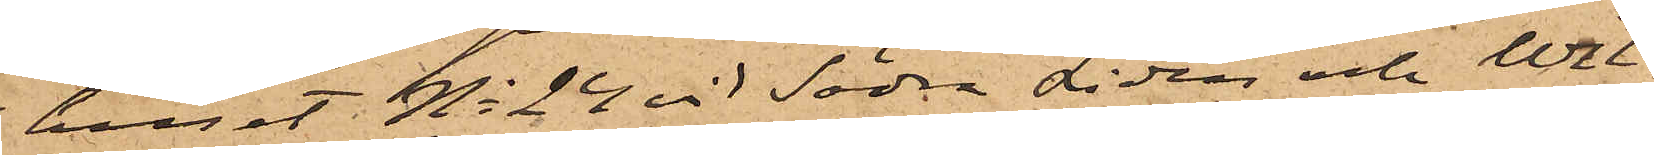huset No 24 vid Södra Liden och Wil¬
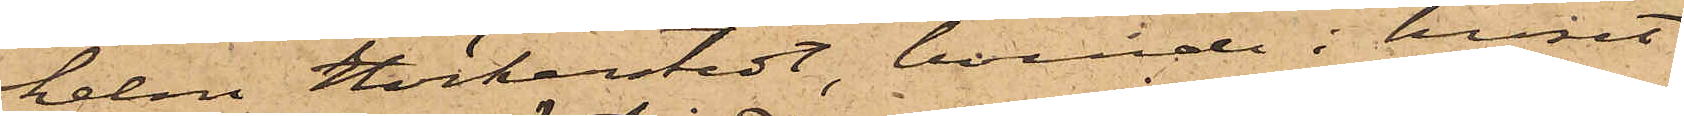helm Höckerstedt, boende i huset
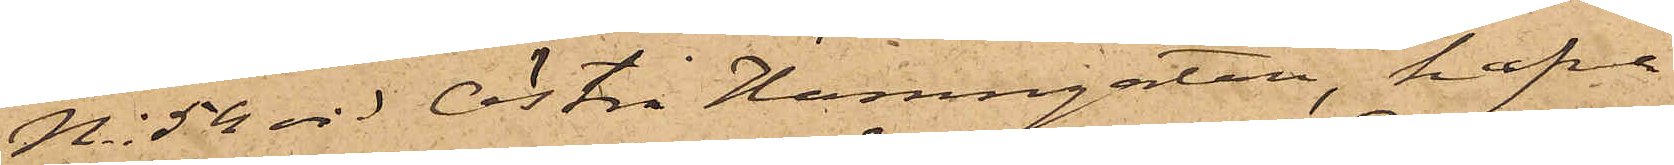No 52 vid Östra Hamngatan, hafva
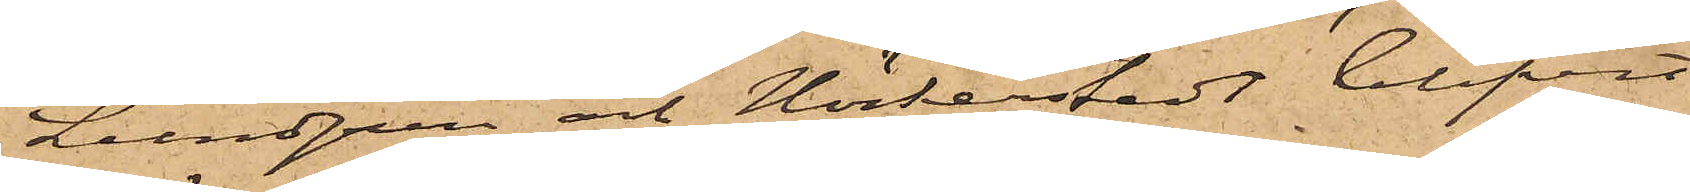Lundgren och Höckerstedt blifvit
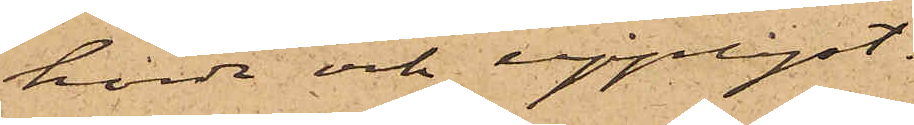hörde och upplyst:
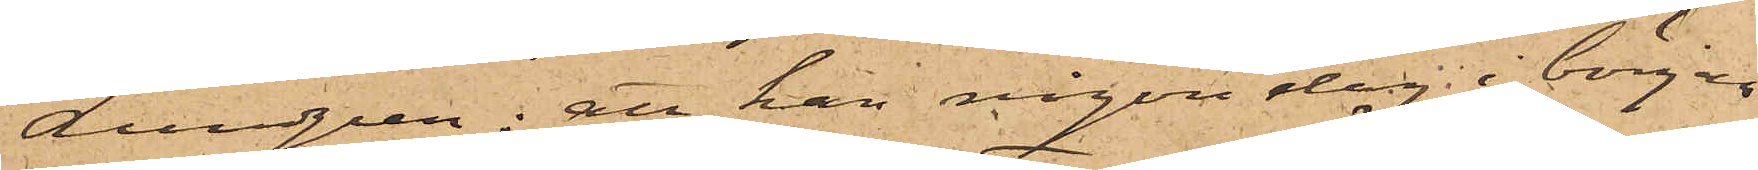Lundgren; att han någon dag i början
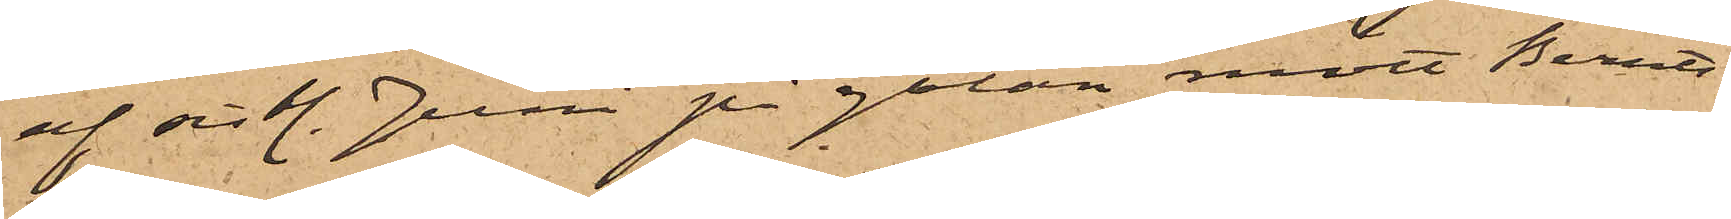af sistl. Juni på gatan mött Bernts¬
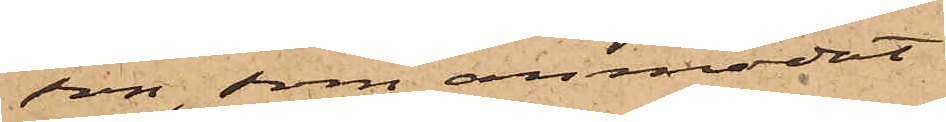son, som anmodat
